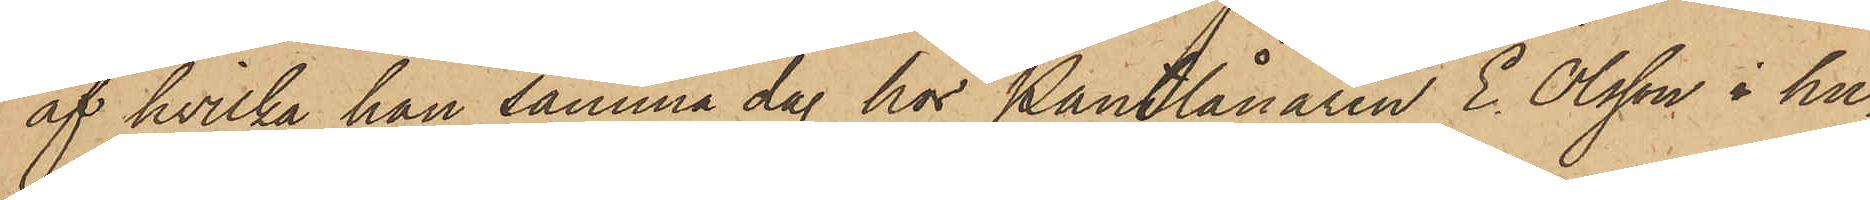af hvilka han samma dag hos Pantlånaren E. Olsson i hu¬
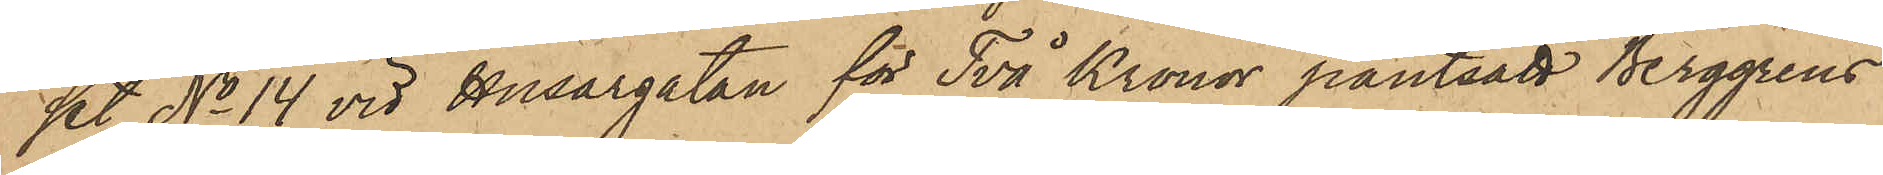set No 14 vid Husargatan för Två Kronor pantsatt Berggrens
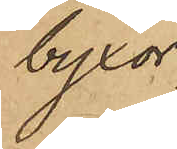byxor;
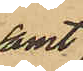samt
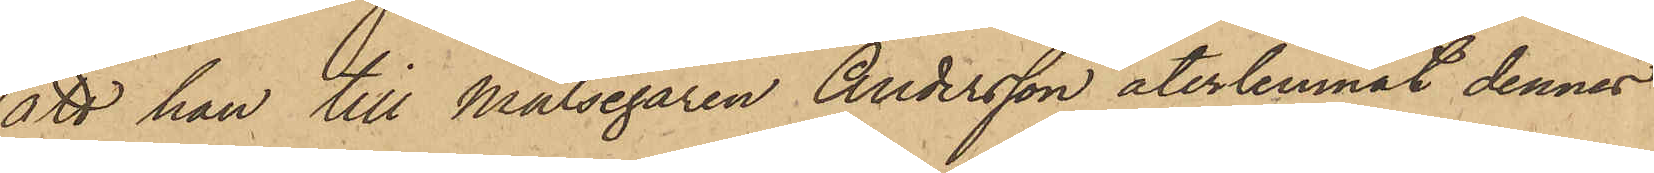att han till Målsegaren Andersson återlemnat dennes
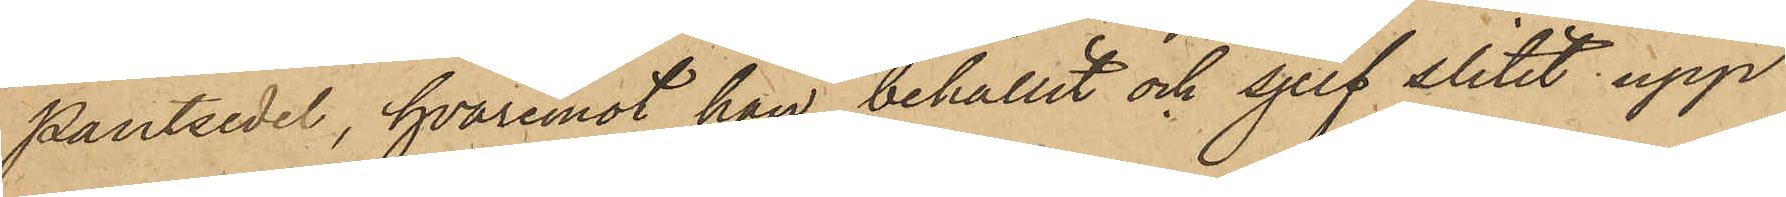pantsedel, hvaremot han behållit och sjelf slitit upp
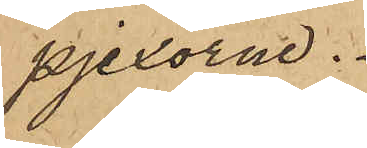pjexorna.
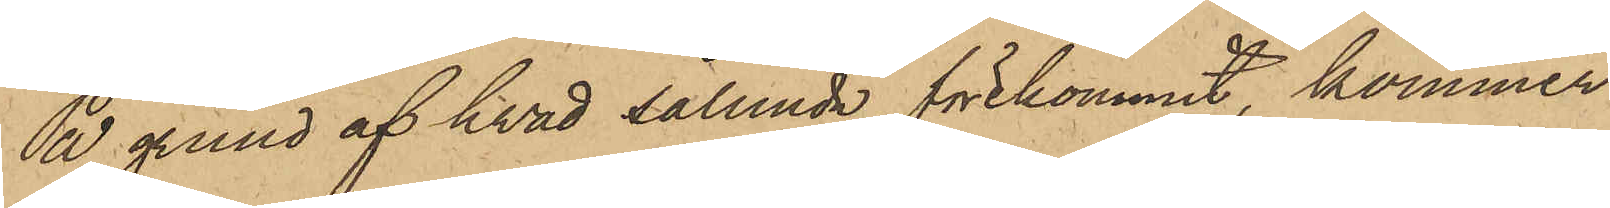På grund af hvad sålunda förekommit, kommer
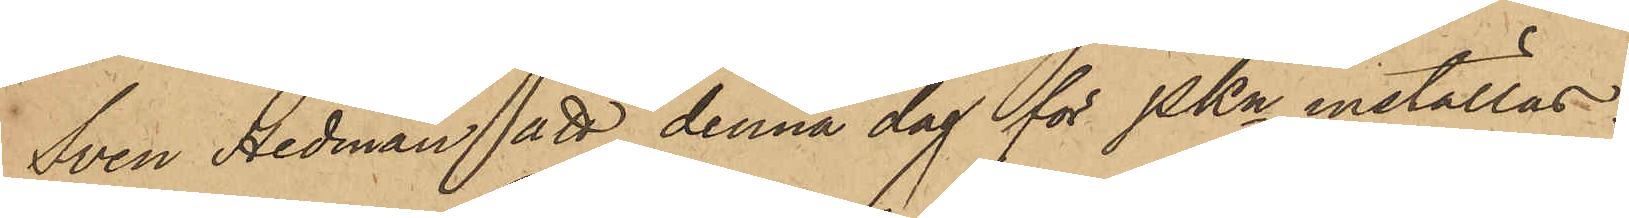Sven Hedman att denna dag för PKn inställas.
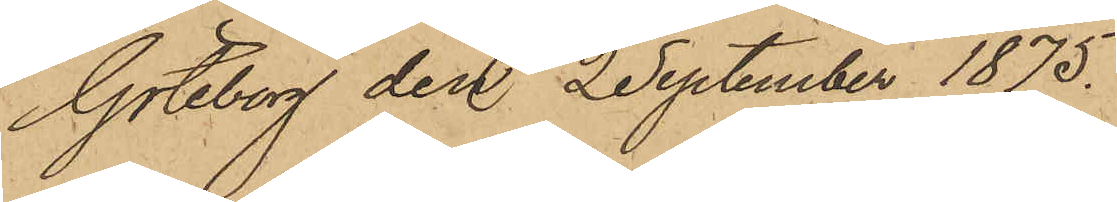Göteborg den 2 September 1875.
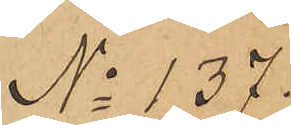No 137.
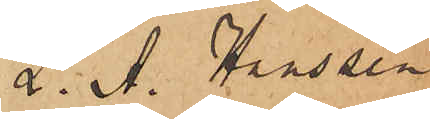L. A. Hanssen
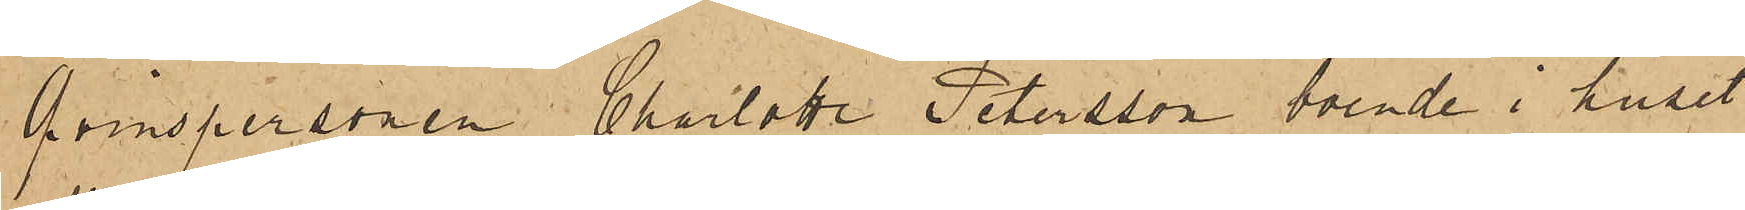Qvinspersonen Charlotta Petersson, boende i huset
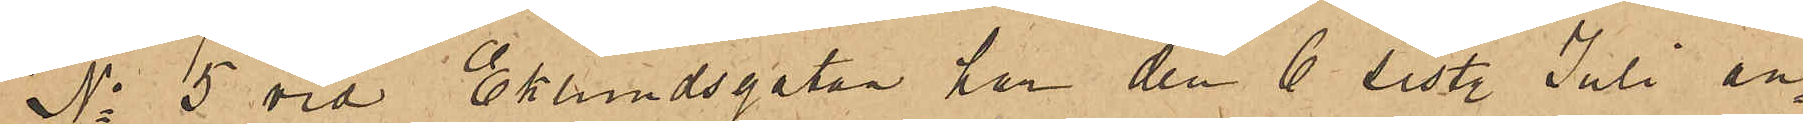No 5 vid Eklundsgatan har den 6 sist. Juli an¬
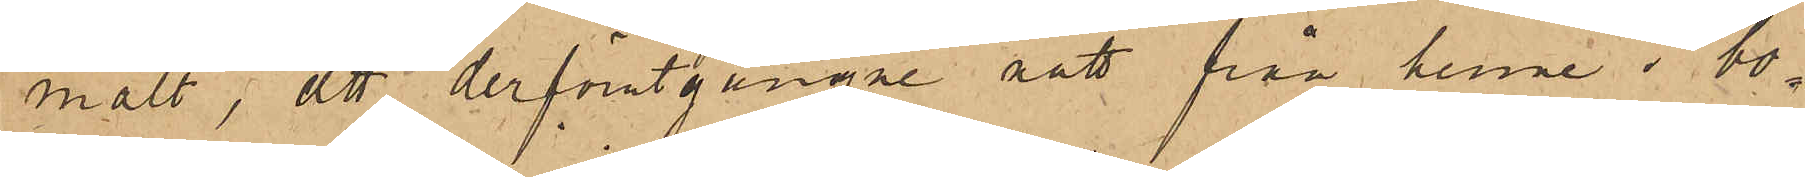mält, att derförutgångne sätt från henne i bo¬
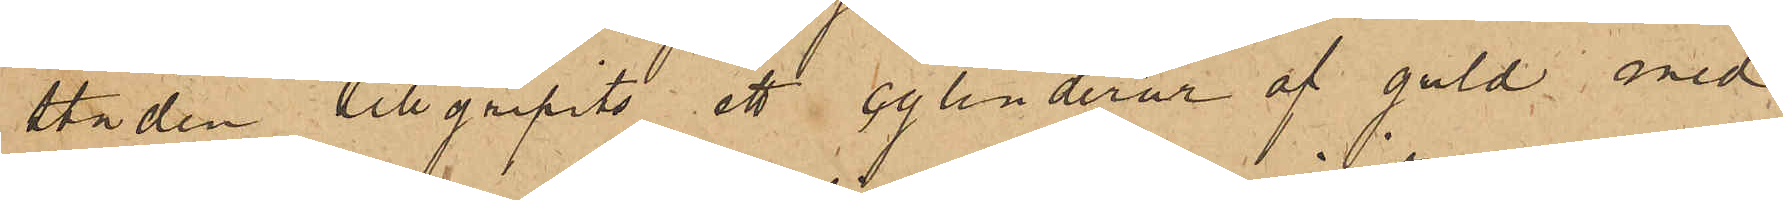staden tillgripits ett cylinderur af guld med
